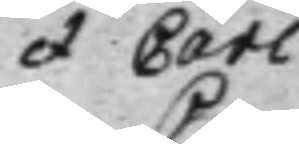et Carl
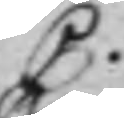C.
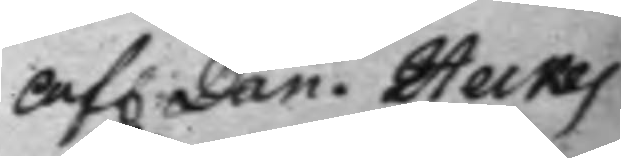Af. Dan. Heikes
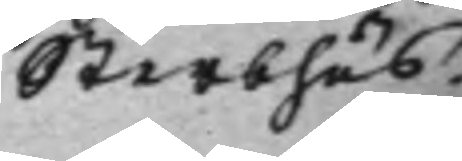Sterbhus.
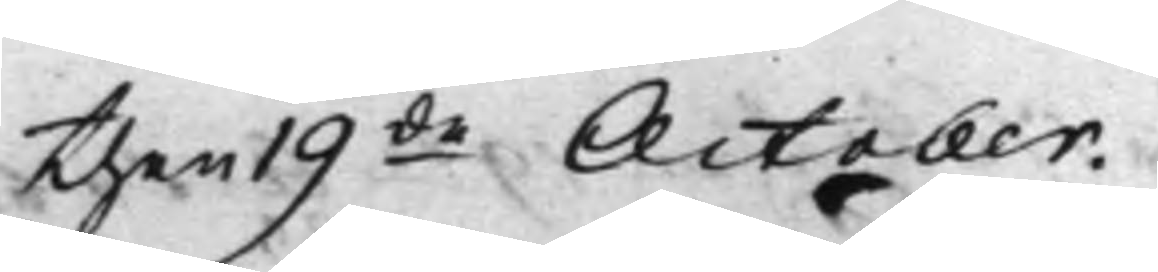then 19de October.
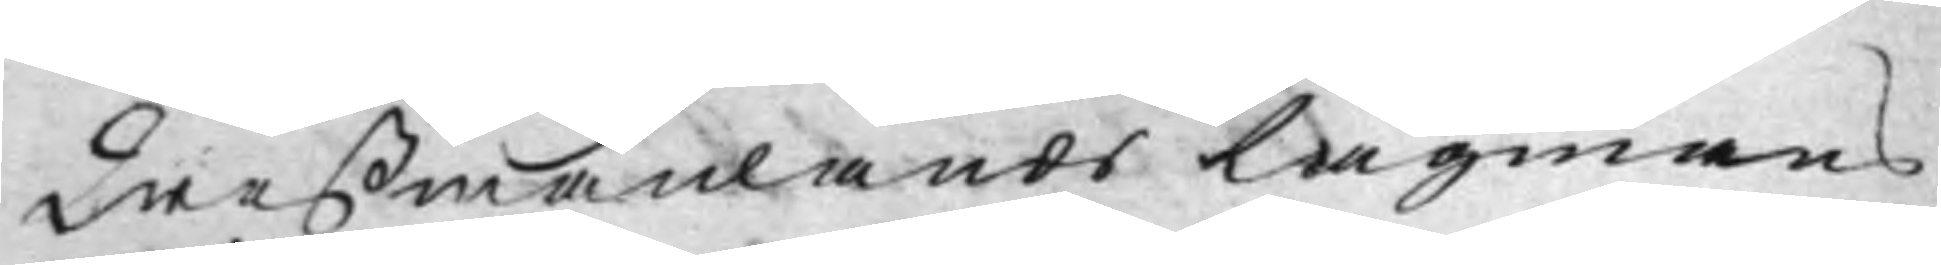Weßmanlands Lagmans
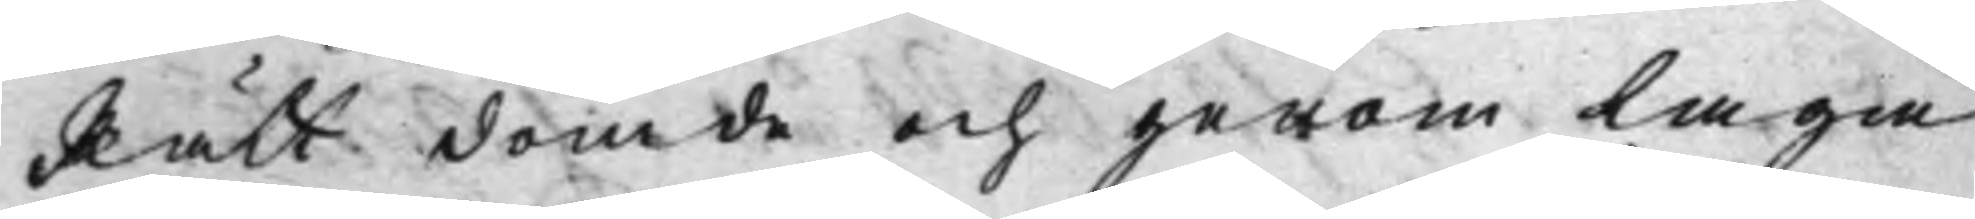Rätt dömde och genom Laga
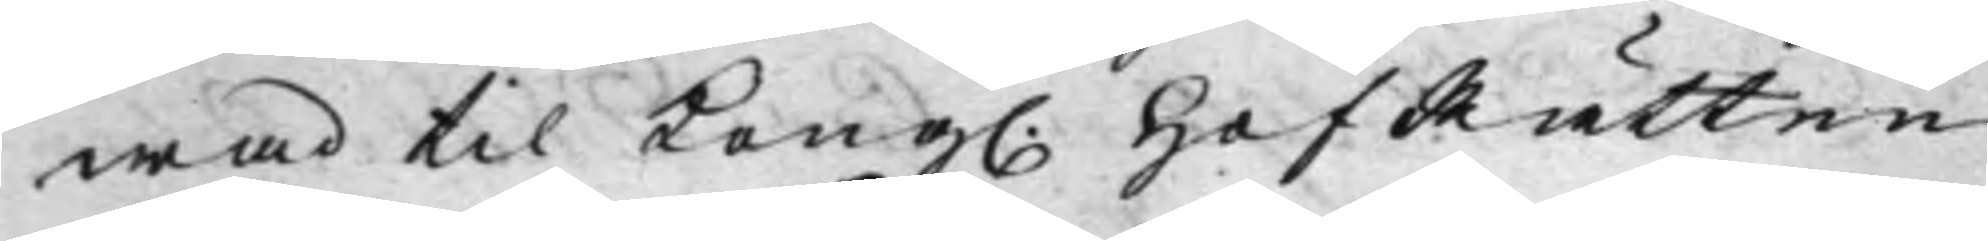wad til Kong. HofRätten
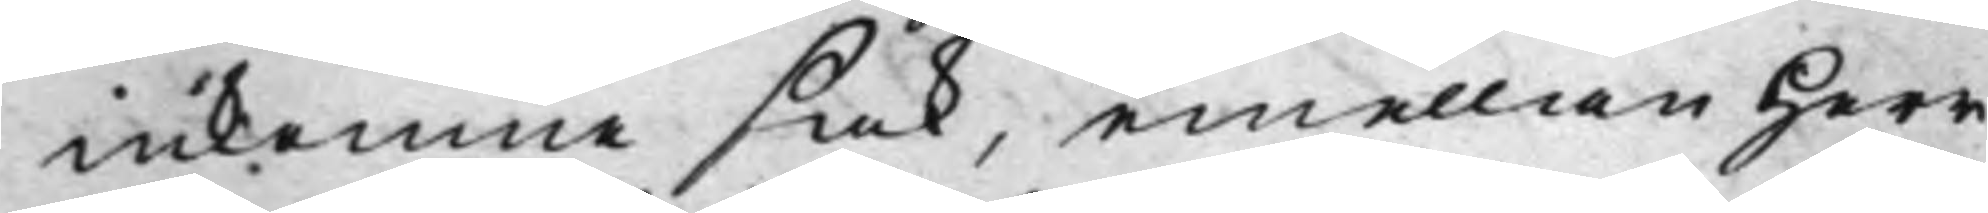inkomne sak, emellan Herr
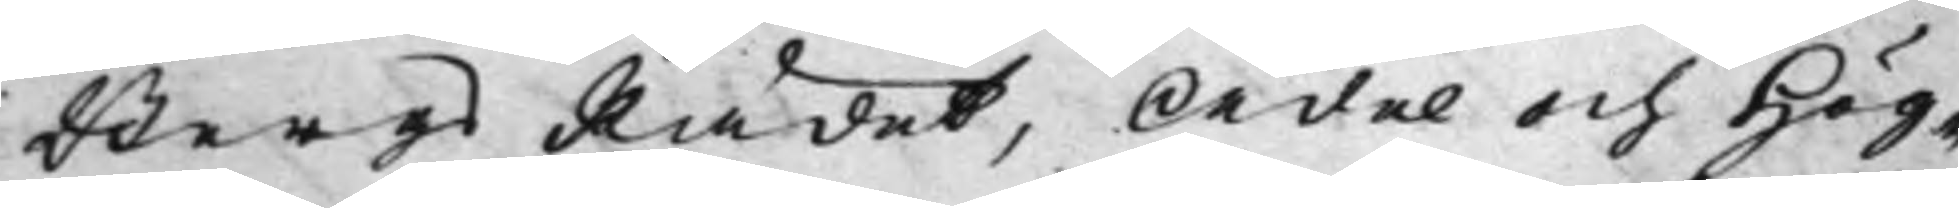BergsRådet, Ädel och Hög¬
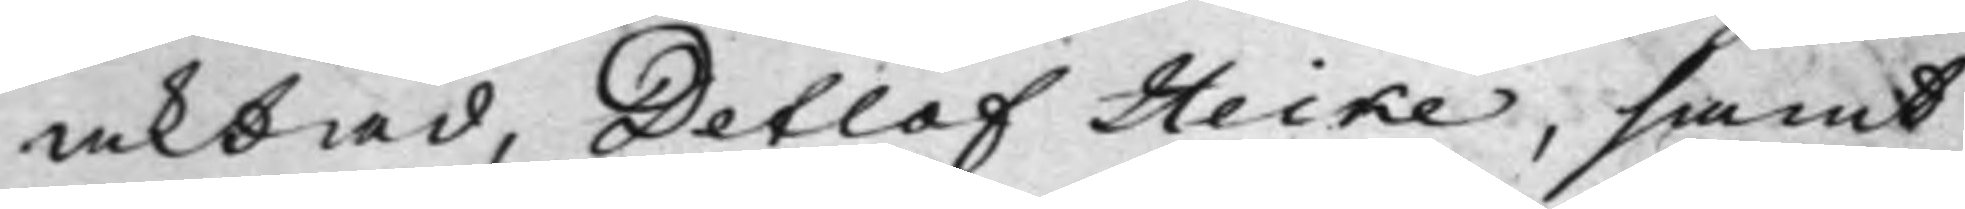aktad, Detlof Heike, samt
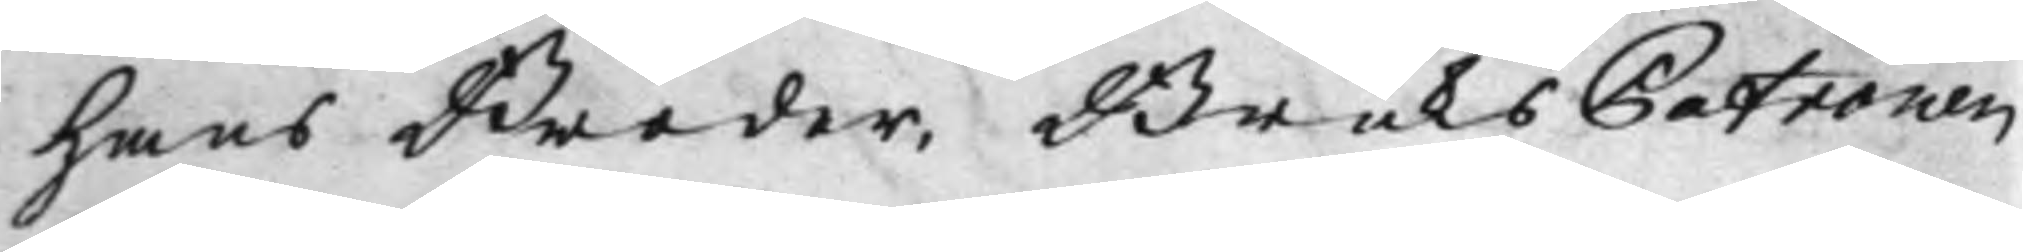hans Broder, BruksPatronen
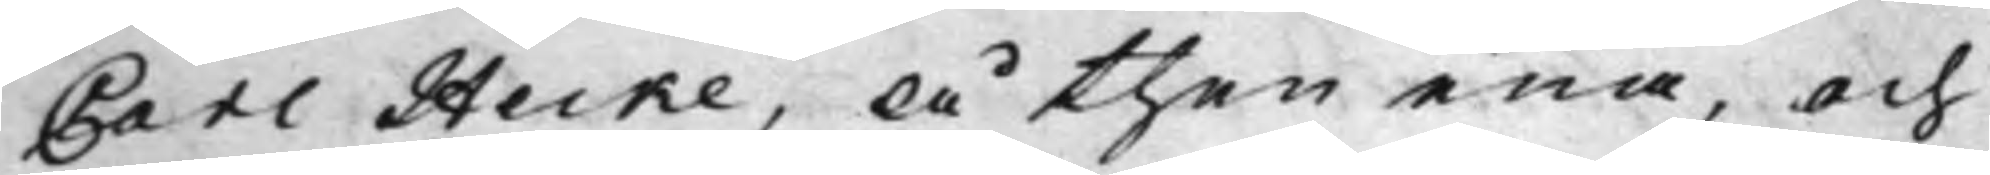Carl Heike, å then ena, och
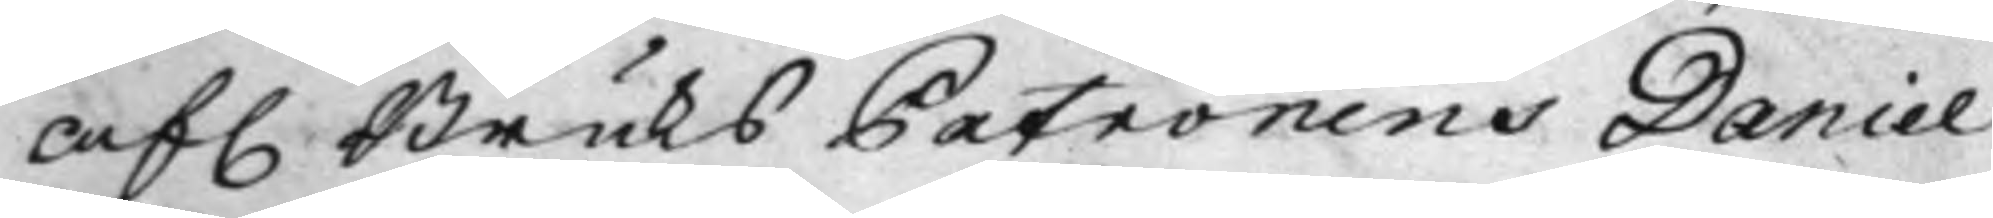af. Bruks Patronens Daniel
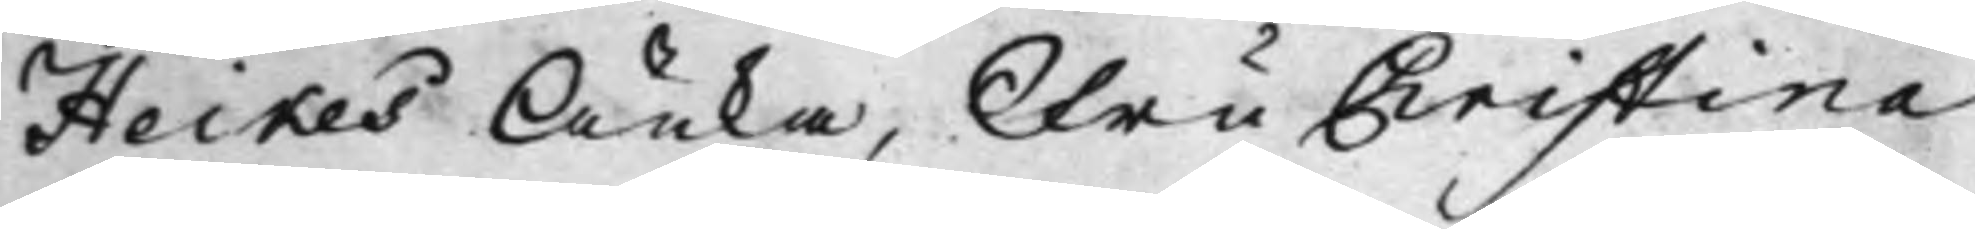Heikes Änka, Fru Christina
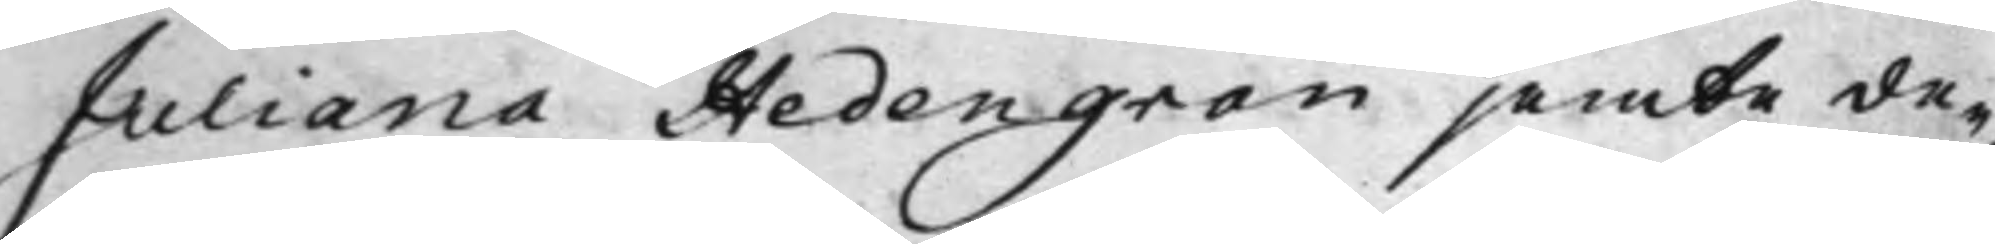Juliana Hedengran jemte de¬
